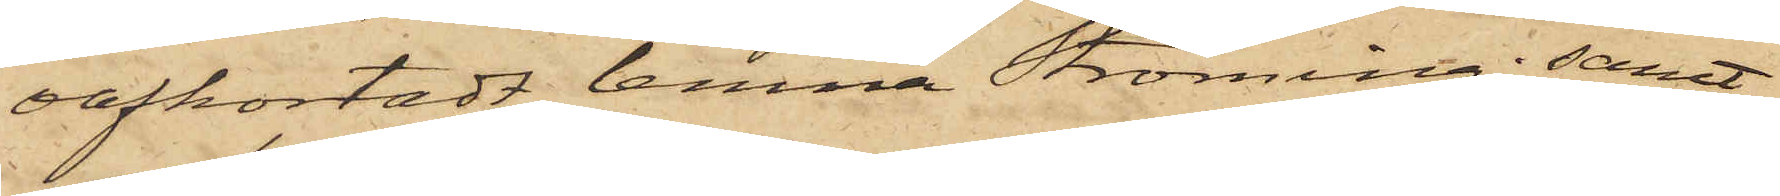oafkortadt lemna Ströming; samt
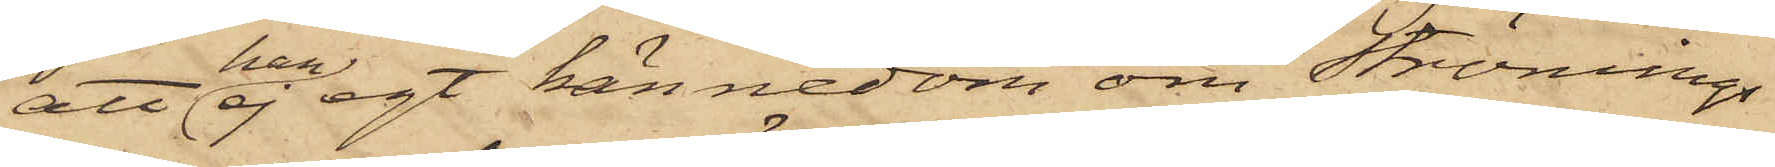att han ej egt kännedom om Strömings
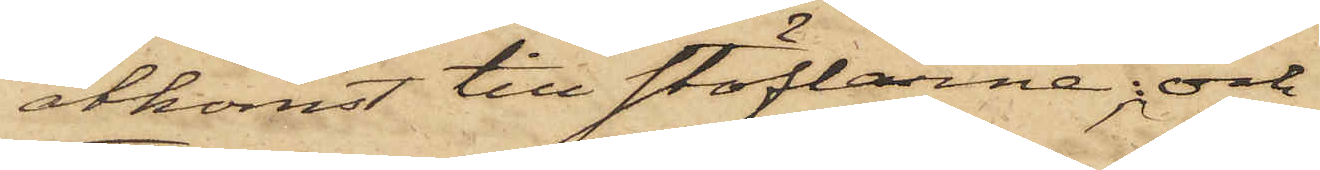åtkomst till stöflarne; och
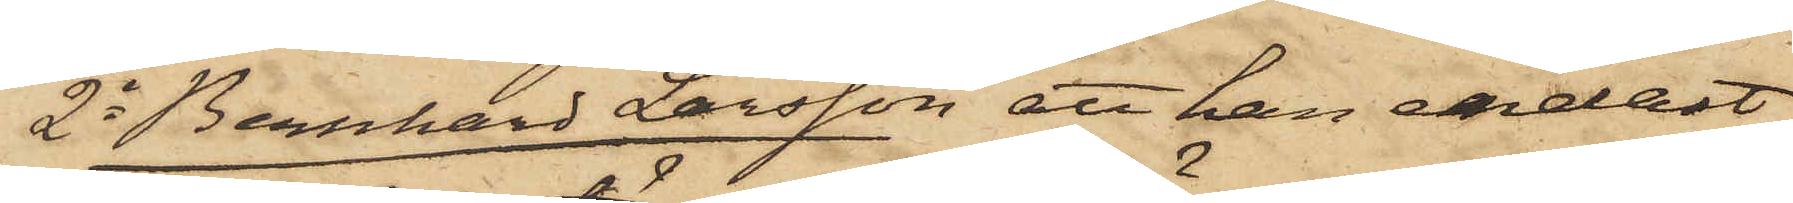2o Bernhard Larsson, att han endast
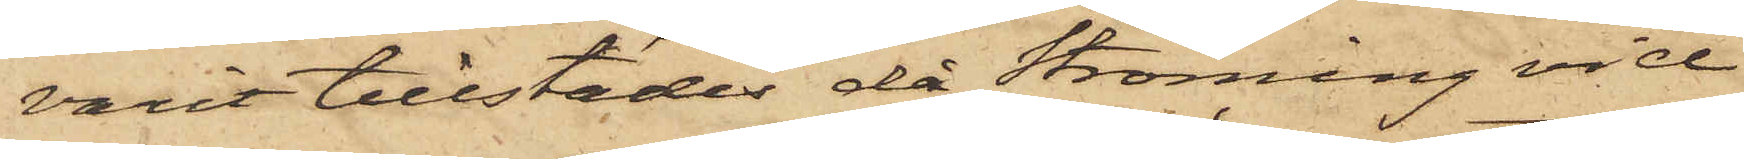varit tillstädes då Ströming vid
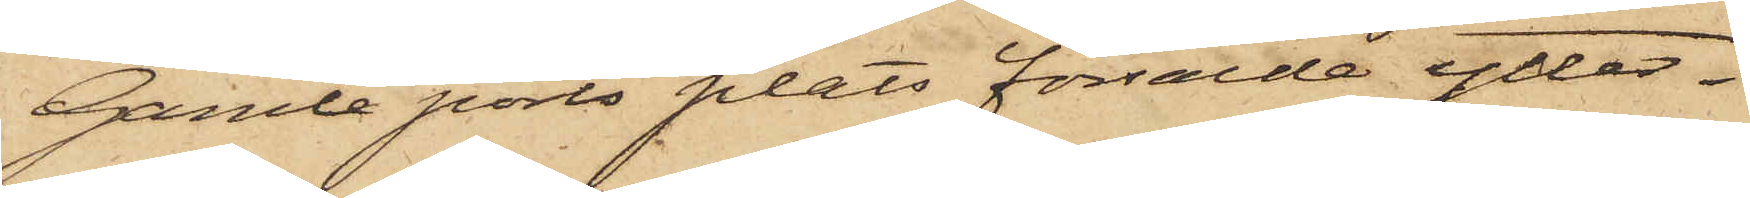Gamle ports plats försålde ytter¬
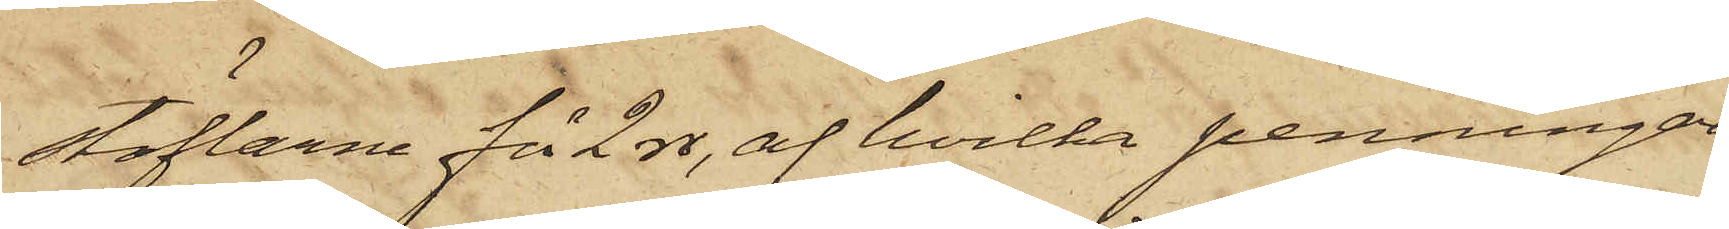stöflarne för 2 rdr, af hvilka penningar
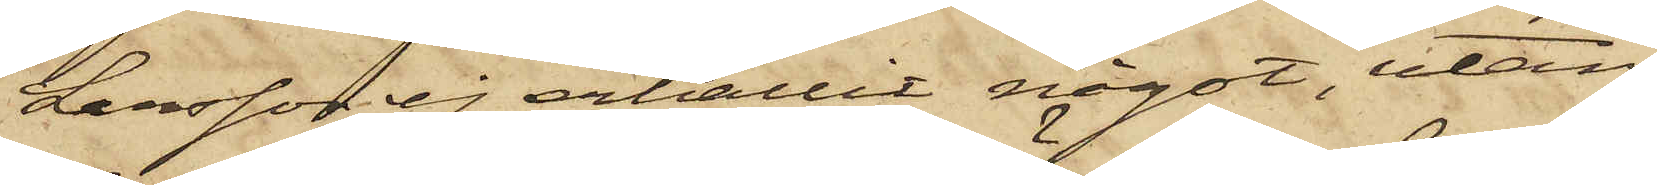Larsson ej erhållit något, utan
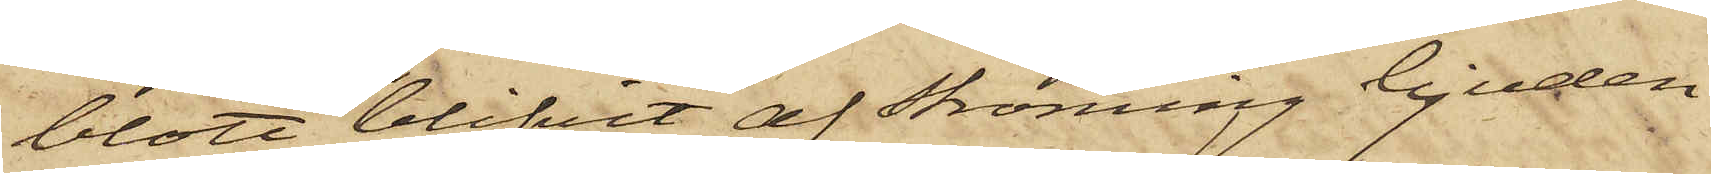blott blifvit af Ströming bjuden
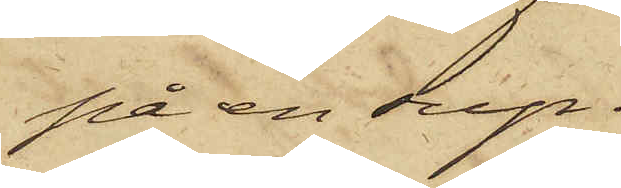på en sup.
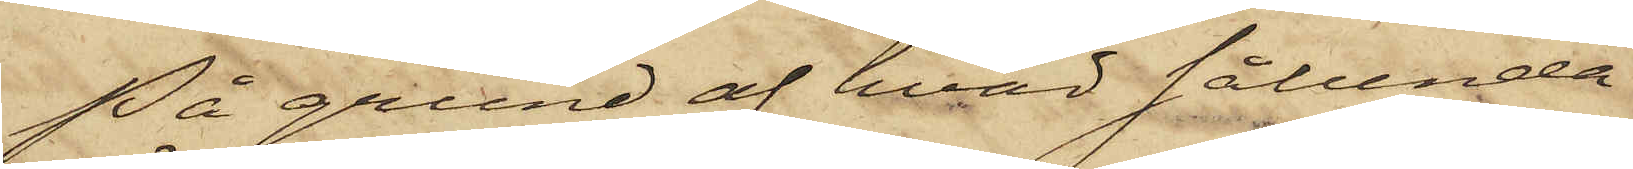På grund af hvad sålunda
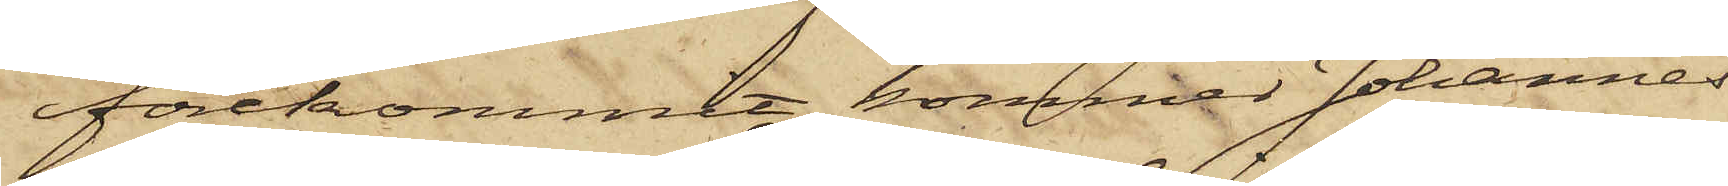förekommit, kommer Johannes
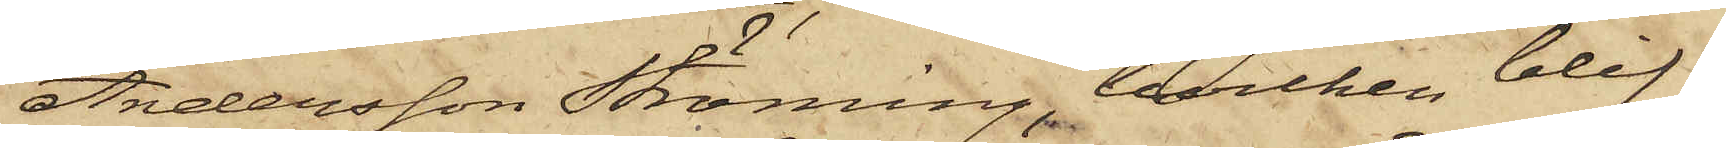Andersson Ströming, hvilken blif¬
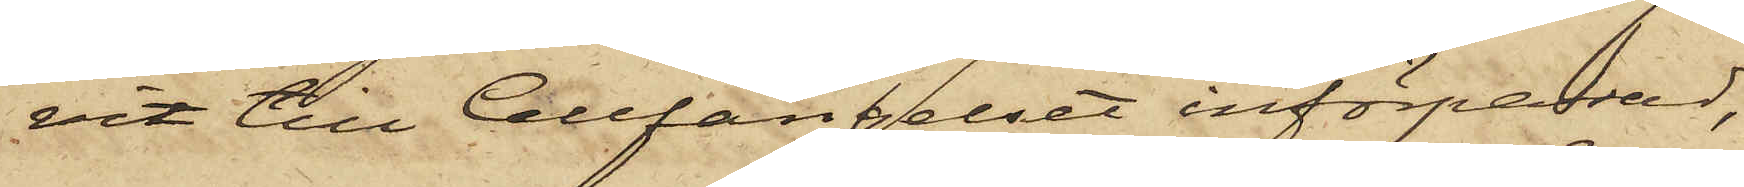vit till Cellfängelset införpassad,
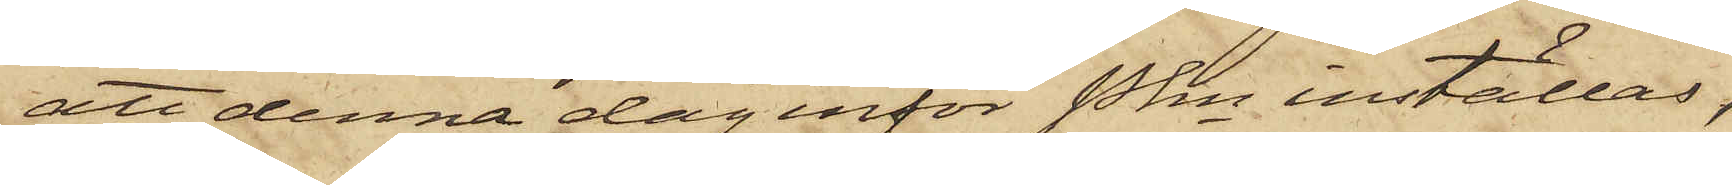att denna dag inför Pkn inställas,
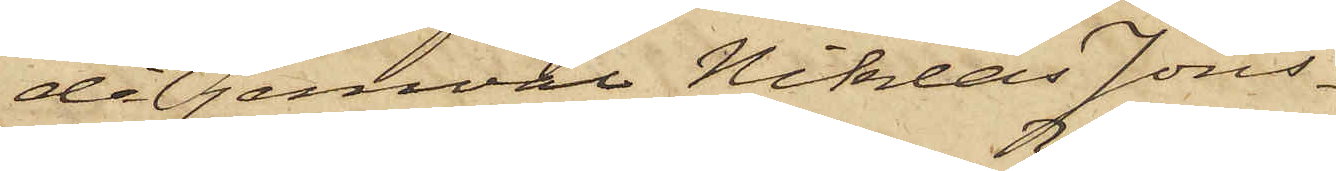då jemväl Niklas Jons¬
